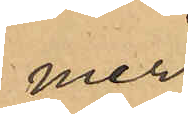mer
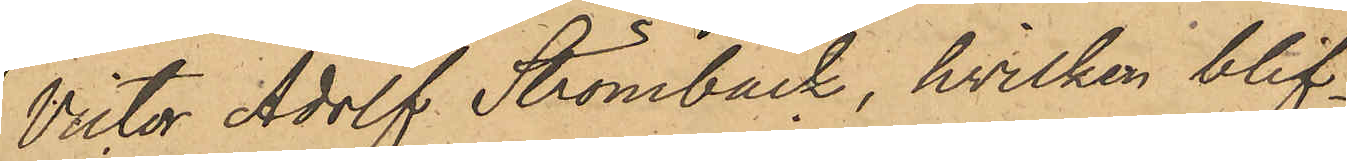Victor Adolf Strömbäck, hvilken blif¬
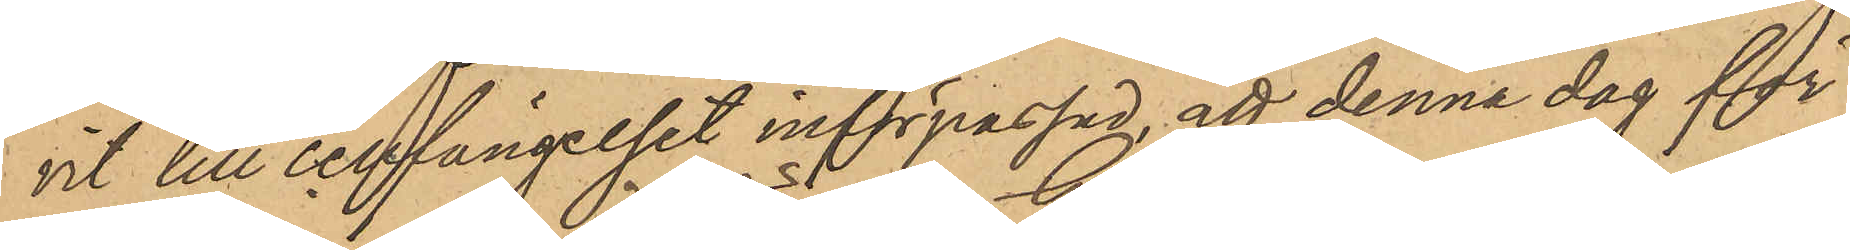vit till cellfängelset införpassad, att denna dag för
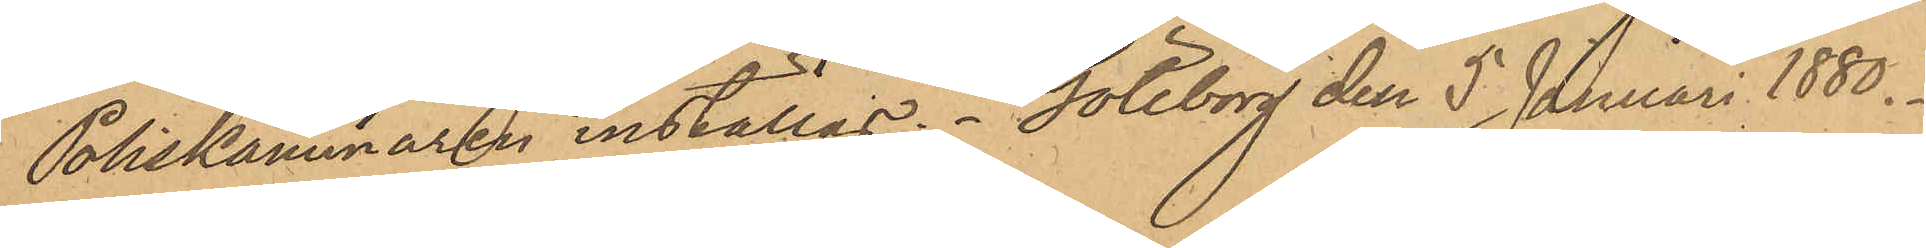Poliskammaren inställas. Göteborg den 5 Januari 1880.
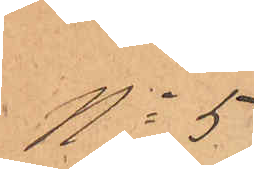No 5
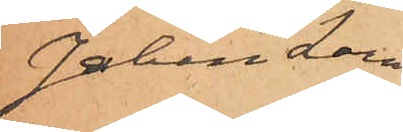Johan Larm
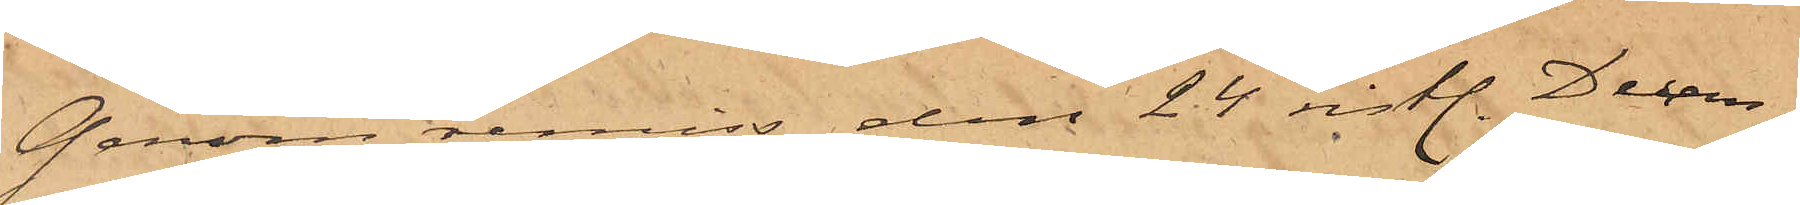Genom remiss den 24 sistl. Decem¬
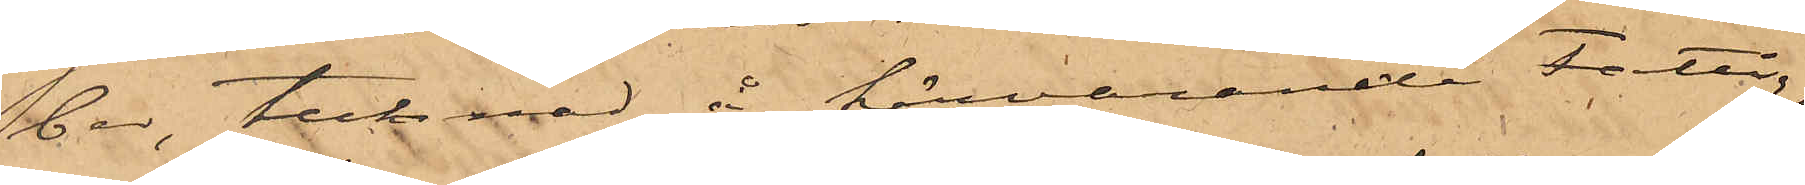ber, tecknad å härvarande fattig¬
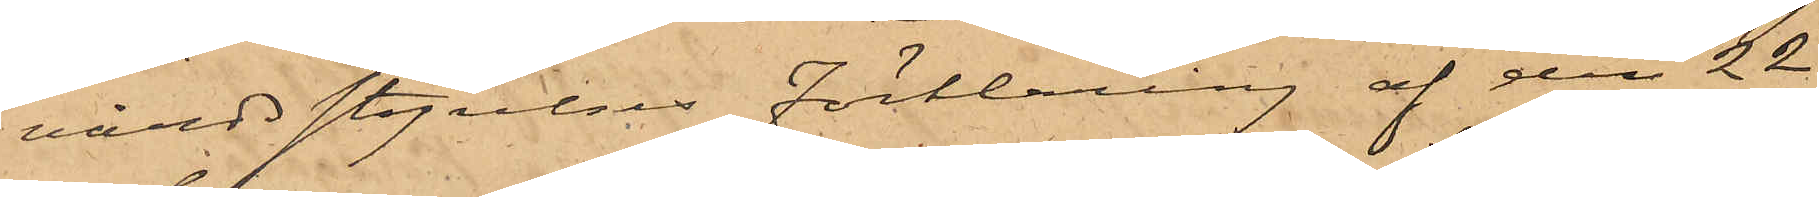vårdsstyrelses förklaring af den 22
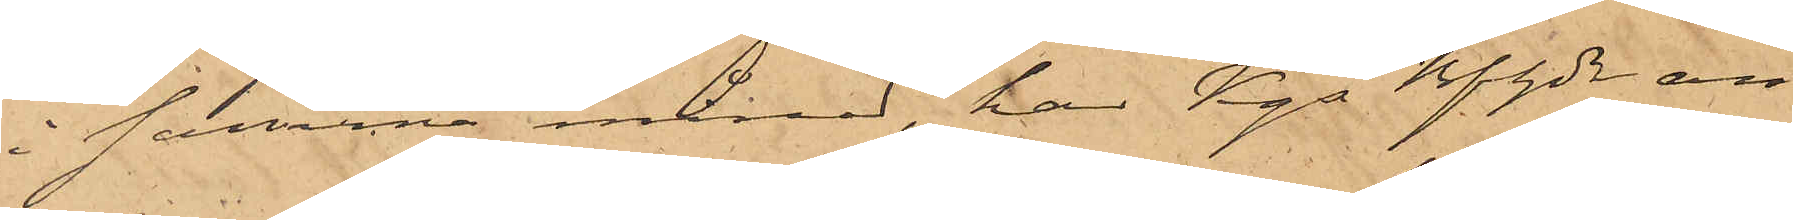i samma månad, har Kgs Bfhde an¬
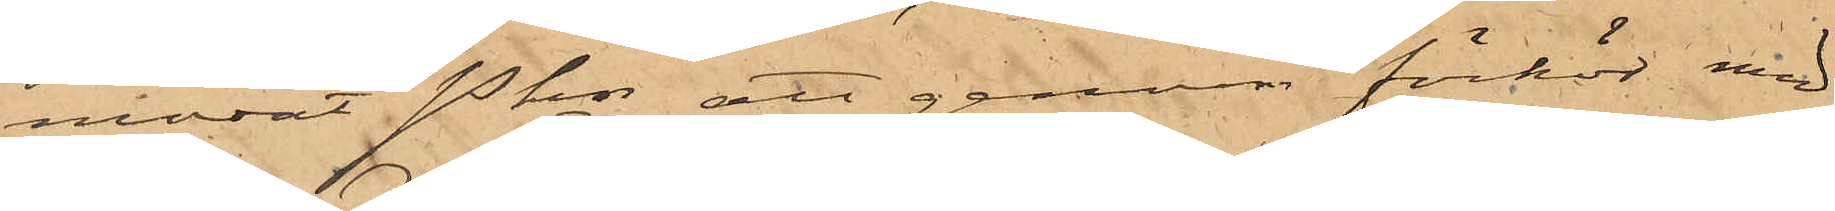manat Pkn att genom föhör med
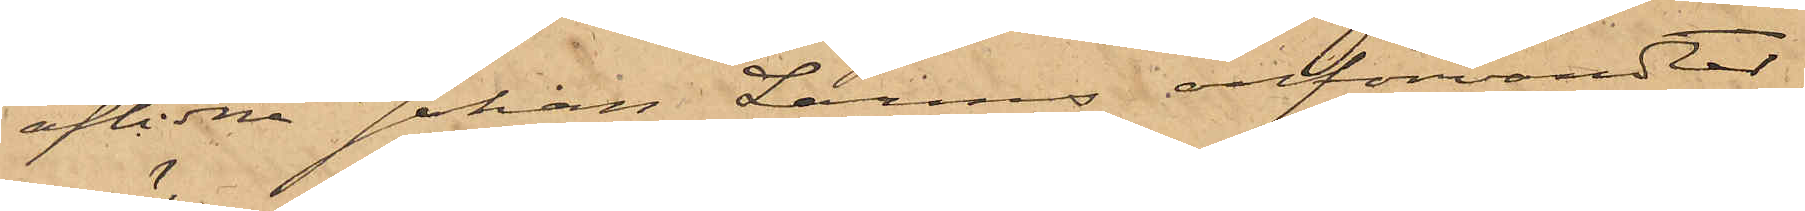aflidne Johan Larms anförvandter
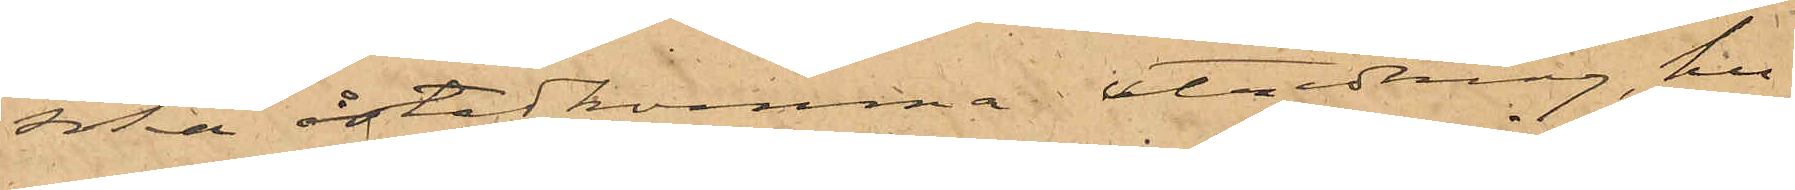söka åstadkomma utredning, hu¬
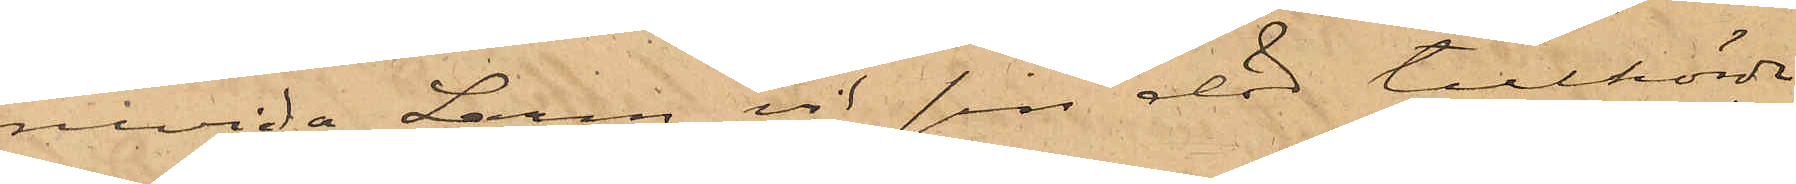ruvida Larm vid sin död tillhörde
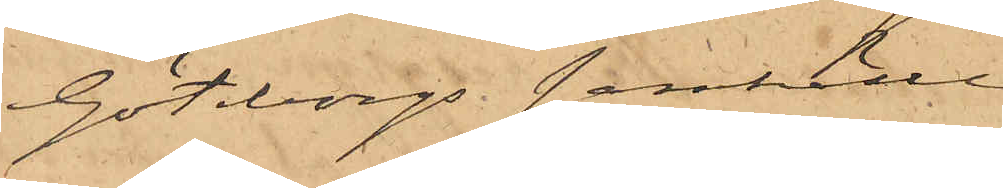Göteborgs samhälle.
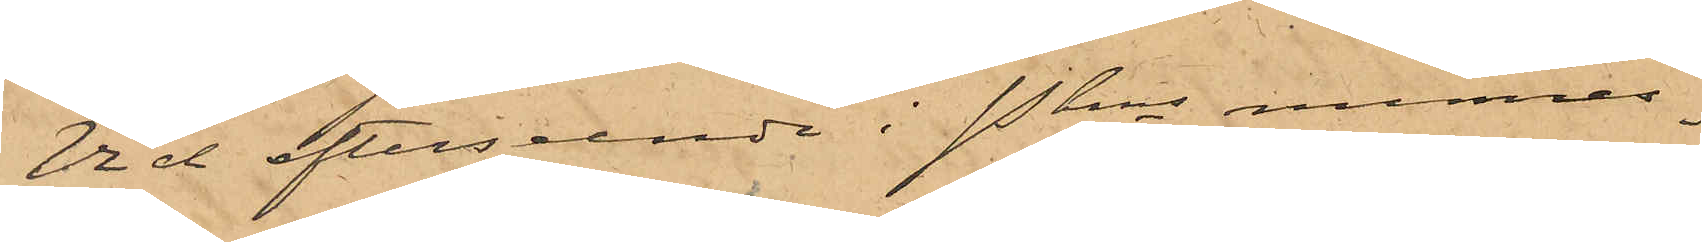Vid efterseende i Pkns minnes¬
